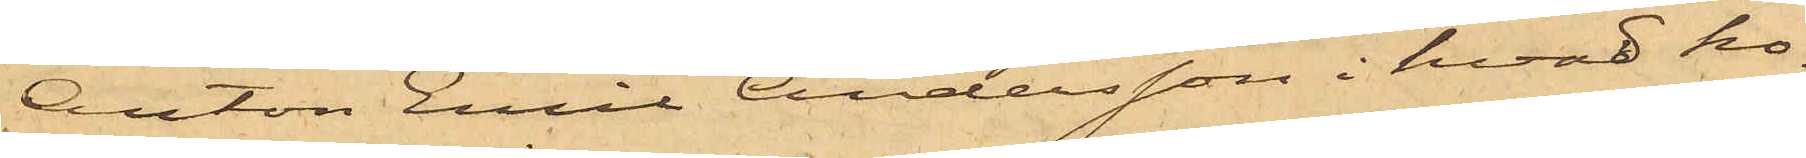Anton Emil Andersson i hvad ho¬
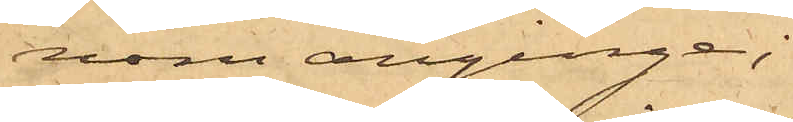nom anginge;
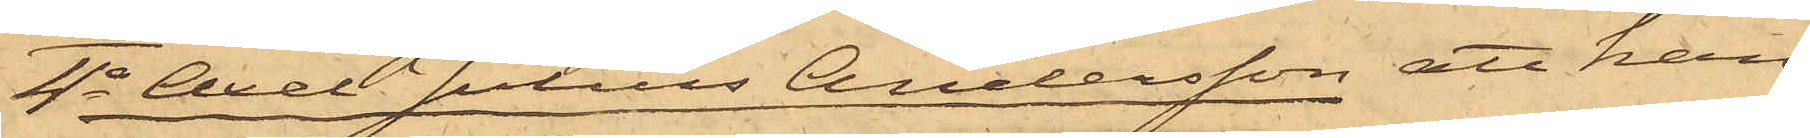4o Axel Julius Andersson att han
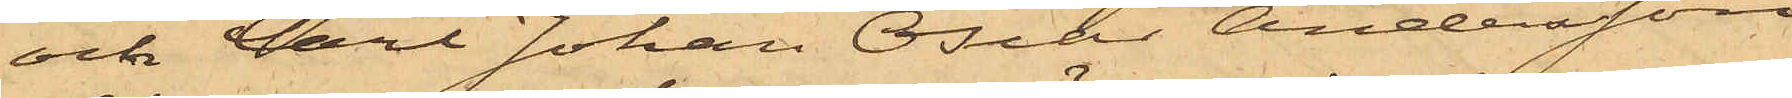och Carl Johan Oscar Andersson
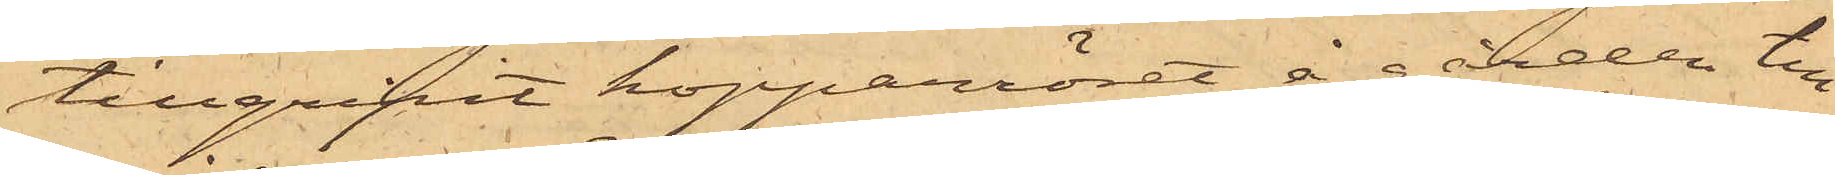tillgripit kopparröret å gården till
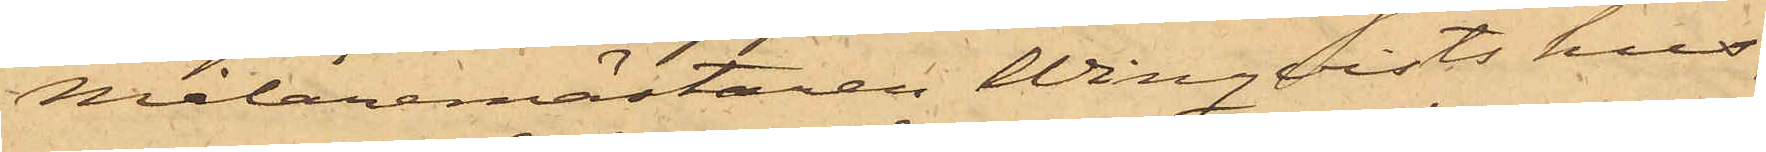Målaremästaren Winqvists hus;
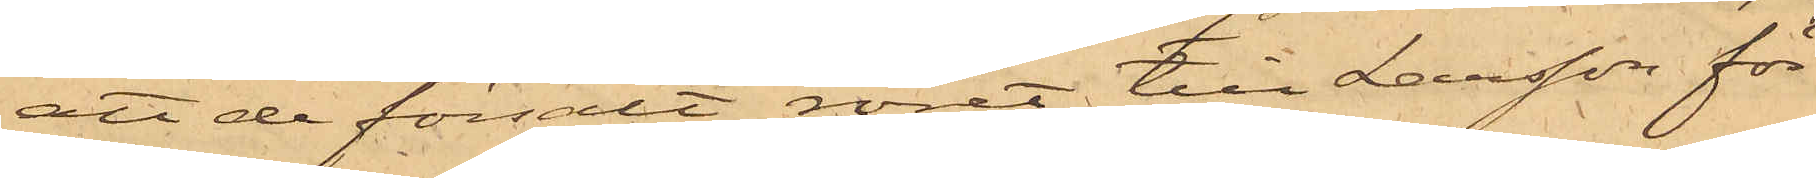att de försålt röret till Larsson för
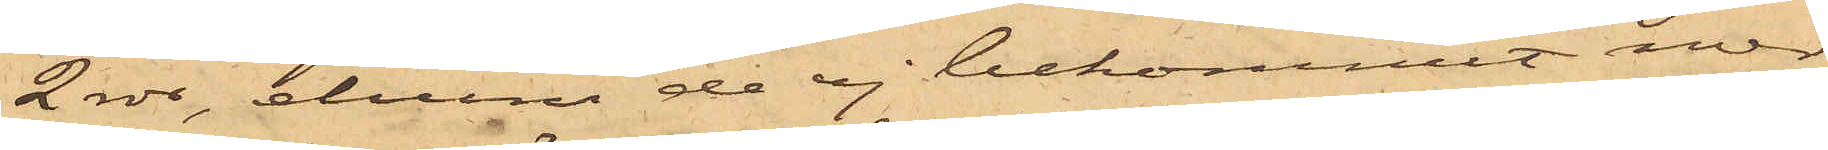2 rdr, ehuru de ej bekommit mer
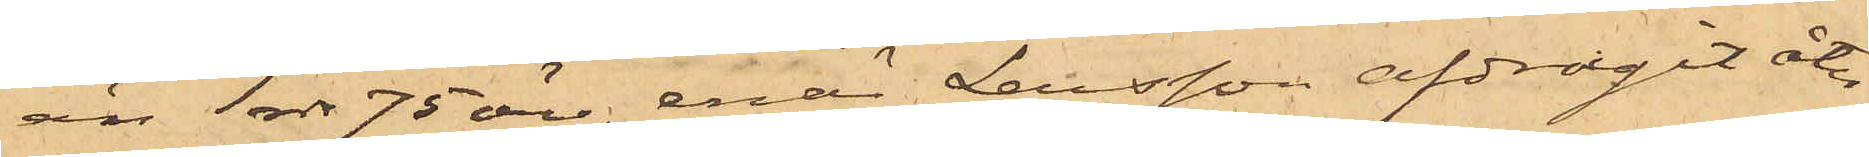än 1 rdr 75 öre, enär Larsson afdragit åter¬
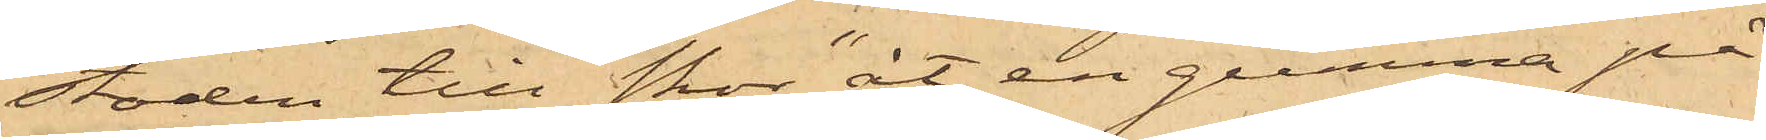stoden till skor "åt en gumma på
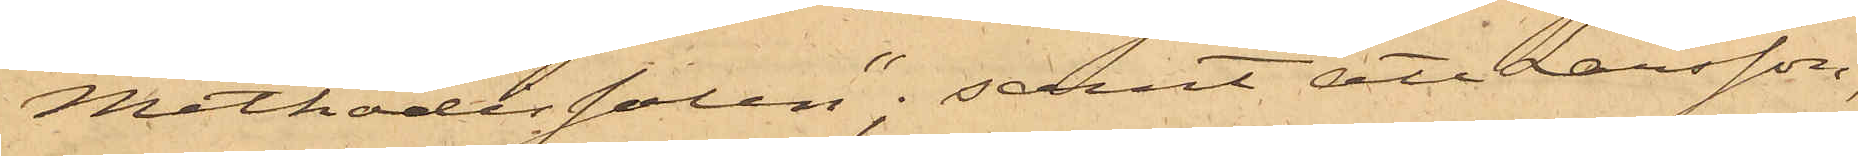Methodistsalen"; samt att Larsson,
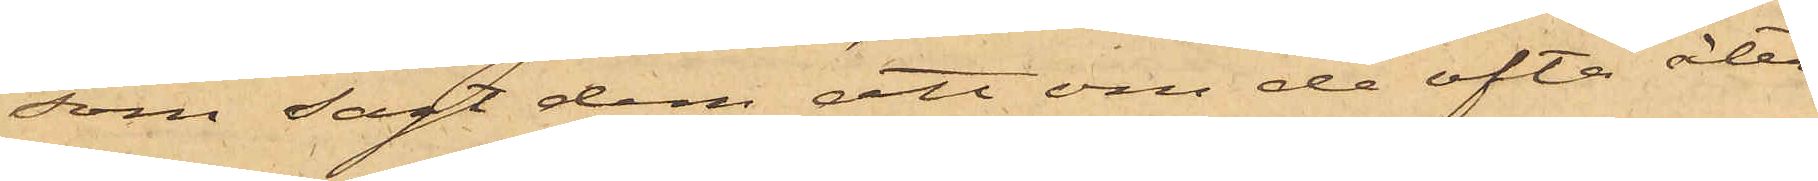som sagt dem att om de ofta åter¬
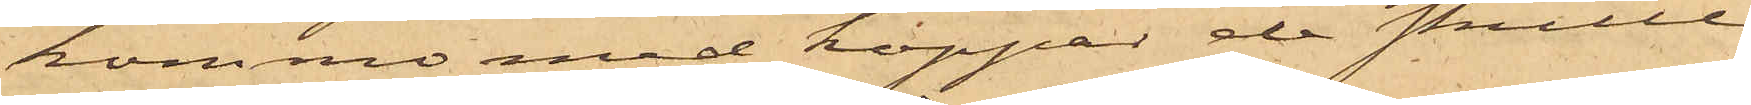komme med koppar de skulle
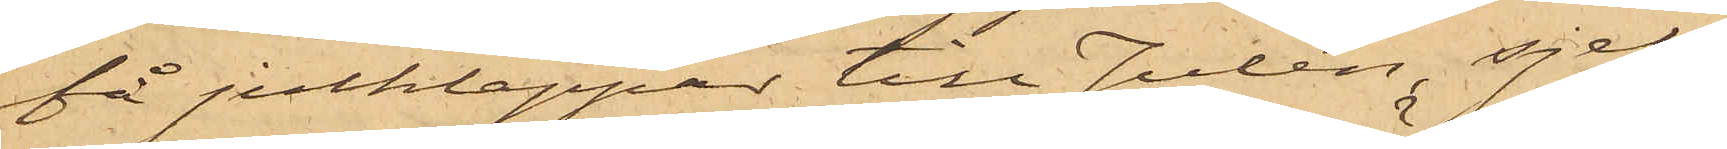få julklappar till Julen, sjelf
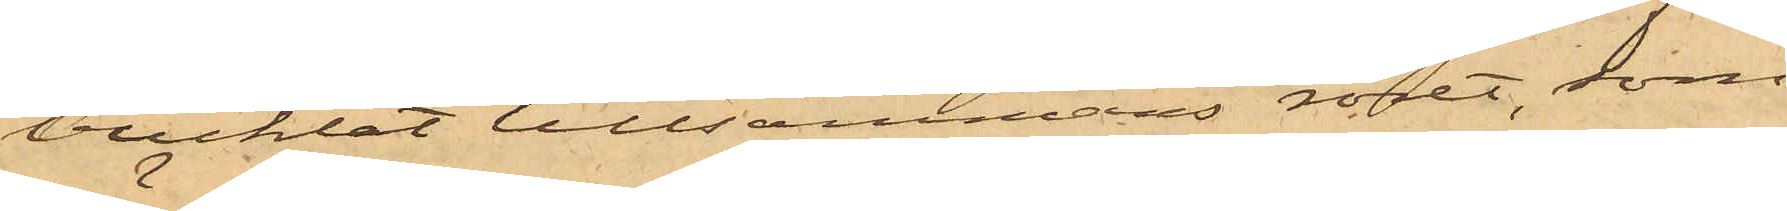bucklat tillsammans röret, som
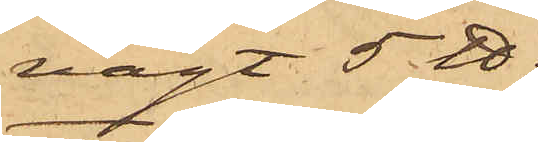vägt 5 ℔;
